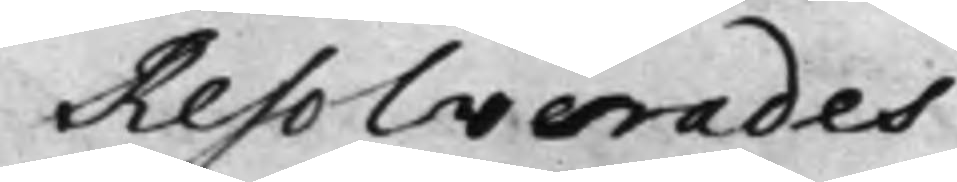Resolverades
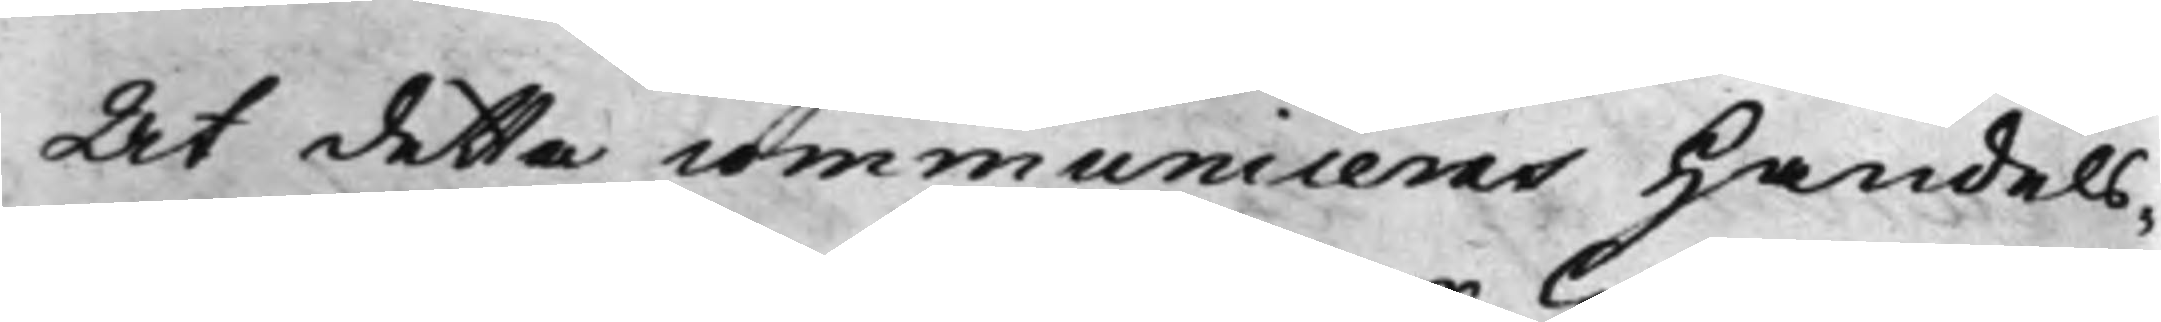At detta communiceras Handels¬
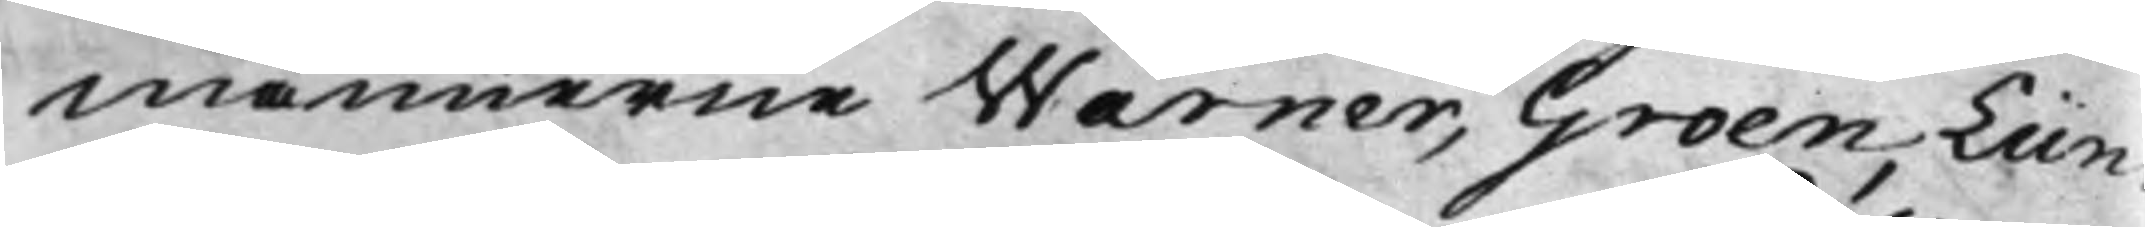männerne Wärner, Groen, Lün¬
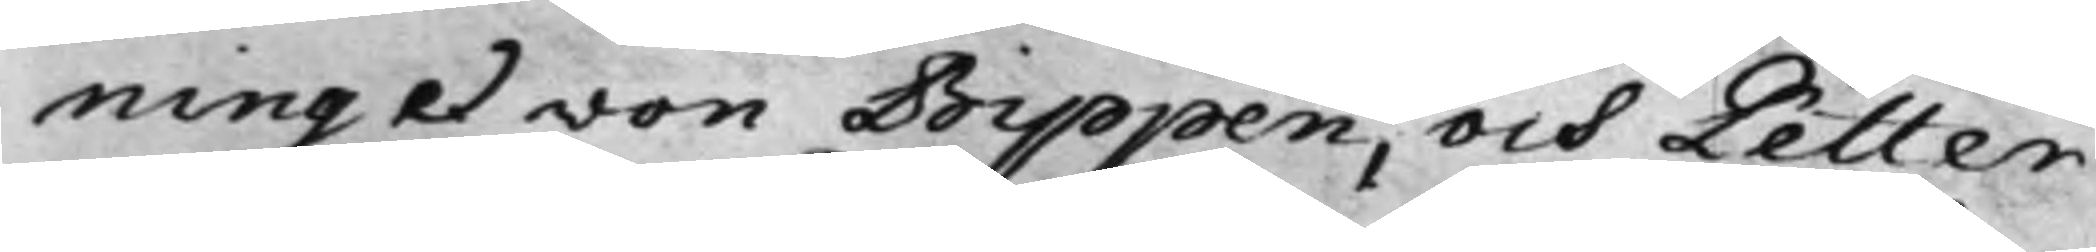ning et von Bippen, och Petter
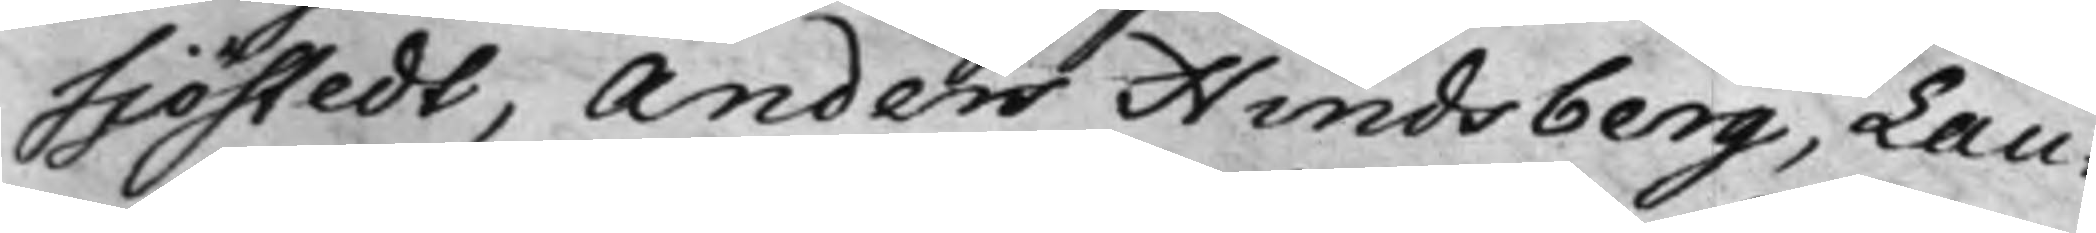Sjöstedt, Anders Hindsberg, Lau¬
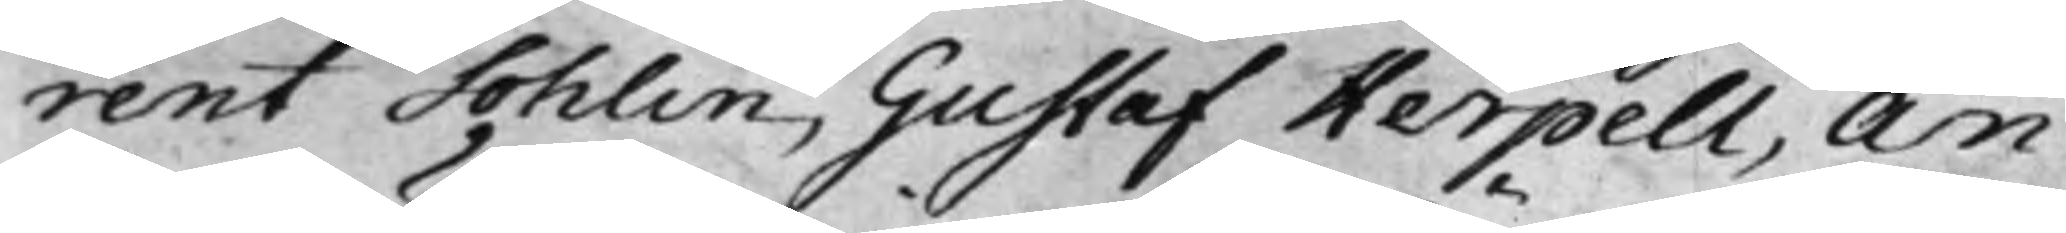rent Sohlin, Gustaf Herpell, An¬
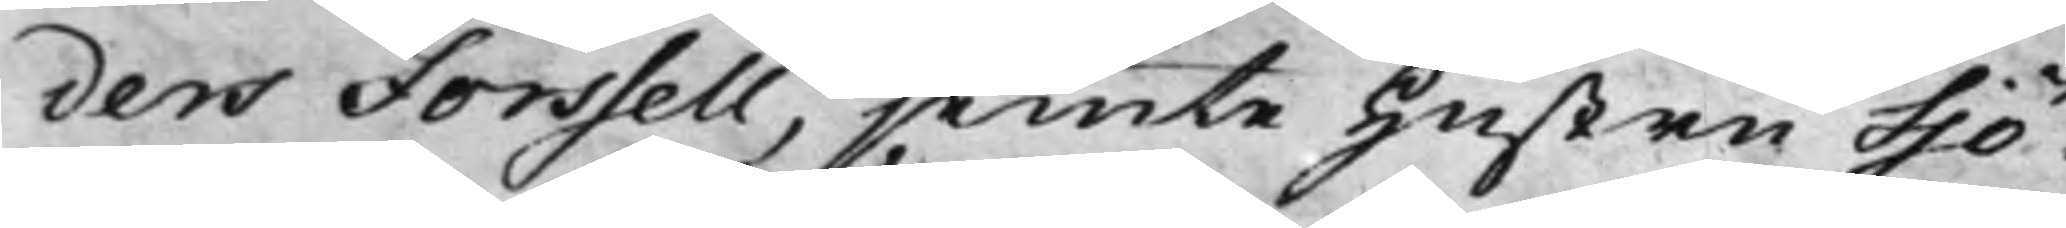ders Forssell, jemte Hustru Sjö¬
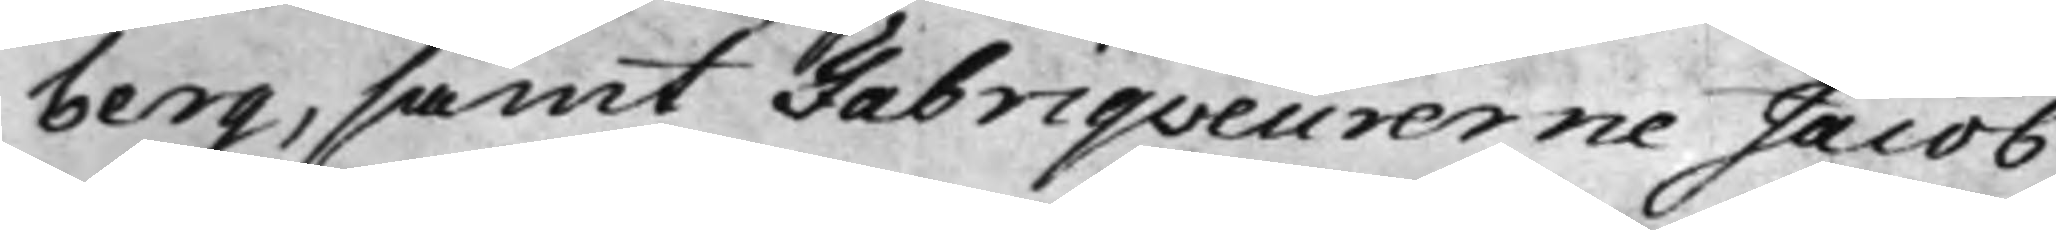berg, samt Fabriqveurerne Jacob
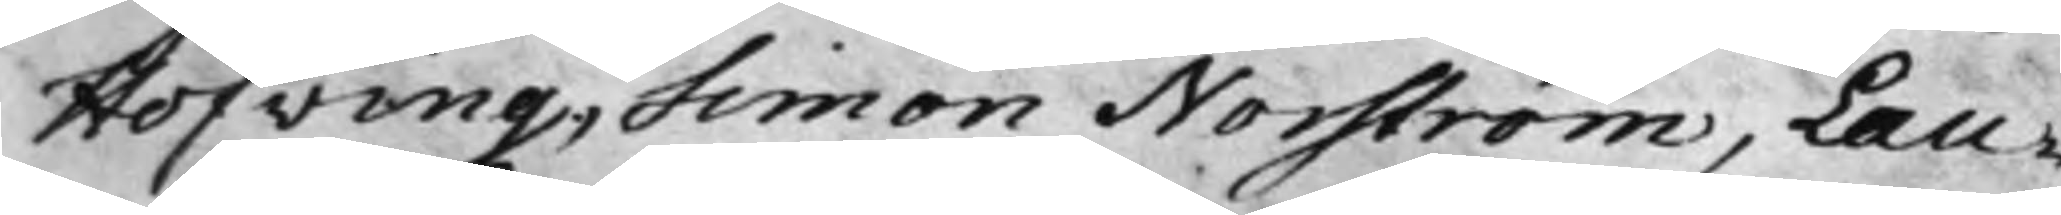Hofving, Simon Norström, Lau¬
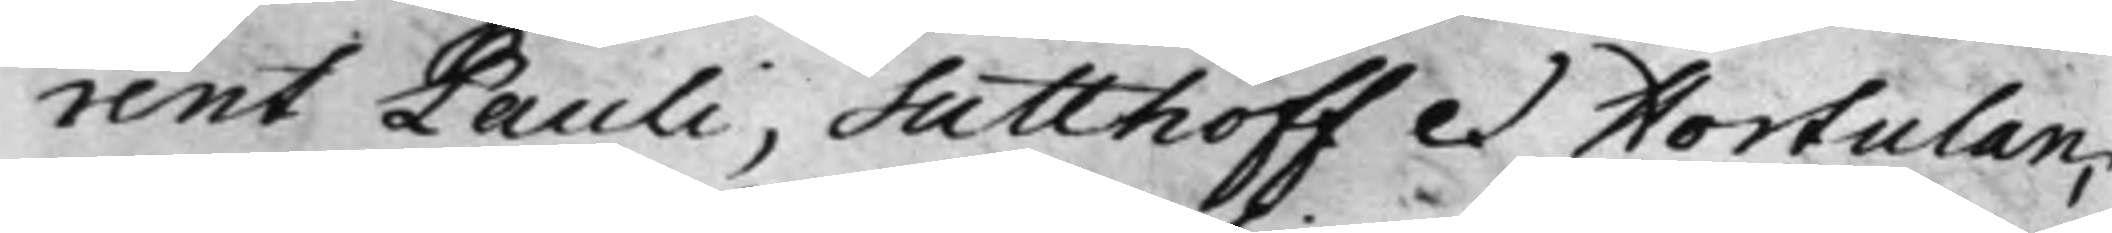rent Pauli, Sutthoff et Hortulan,
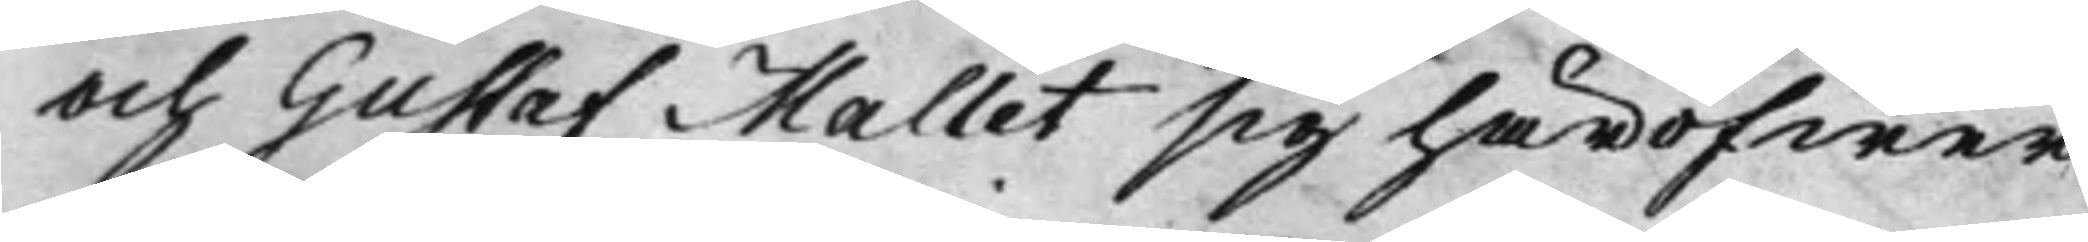och Gustaf Mallet sig häröfwer
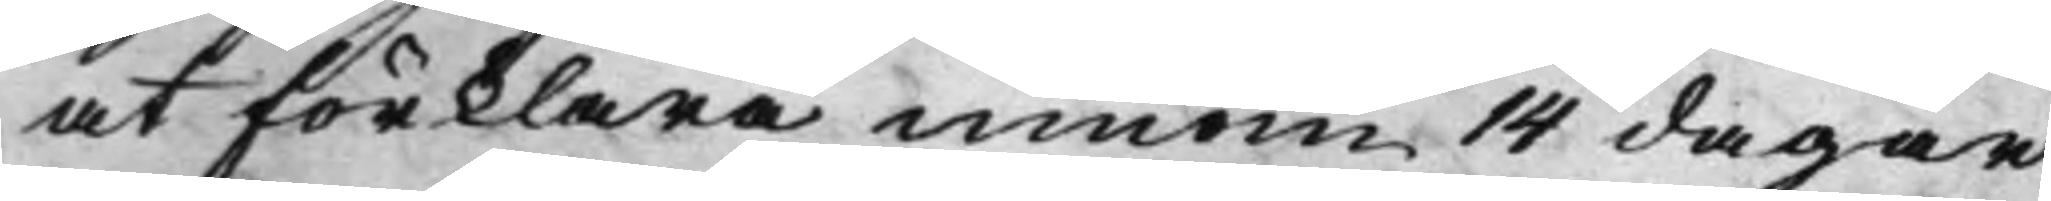at förklara innom 14 dagar
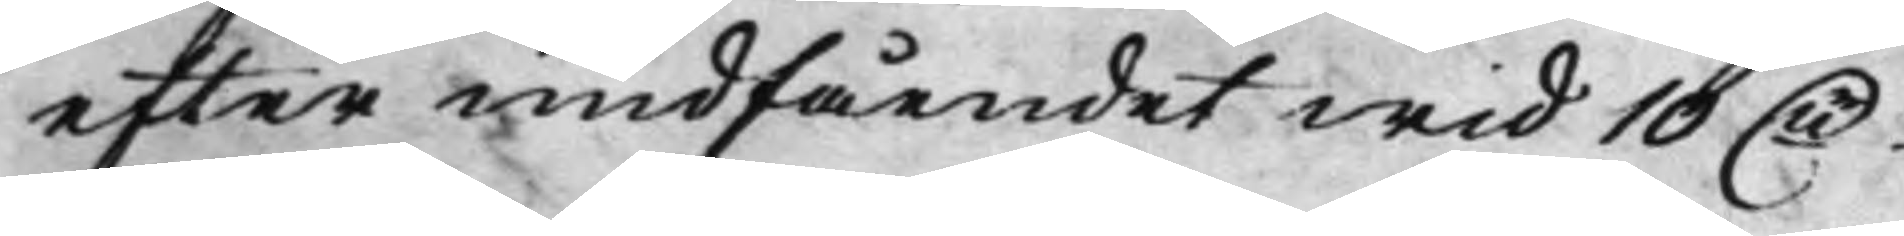efter undfåendet wid 10 Dr
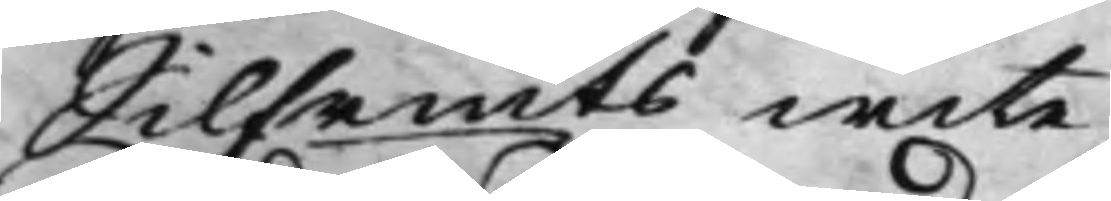Silfrmts wite.
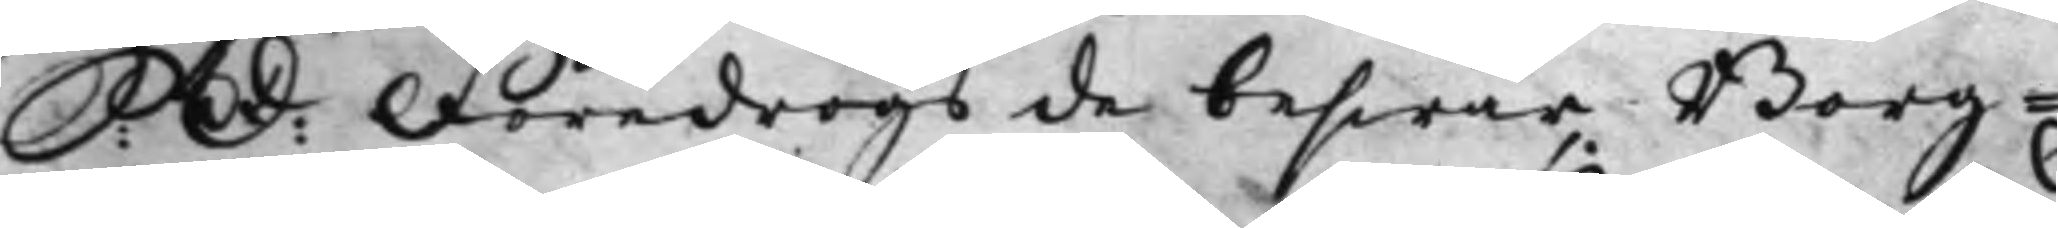S: D: Föredrogs de beswär, Borg¬
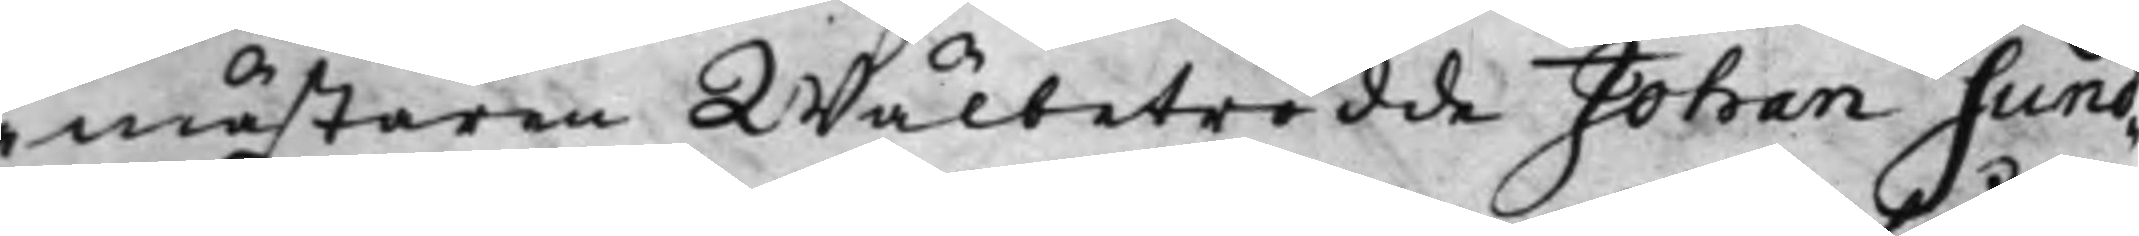mästaren Wälbetrodde Johan Sund¬
